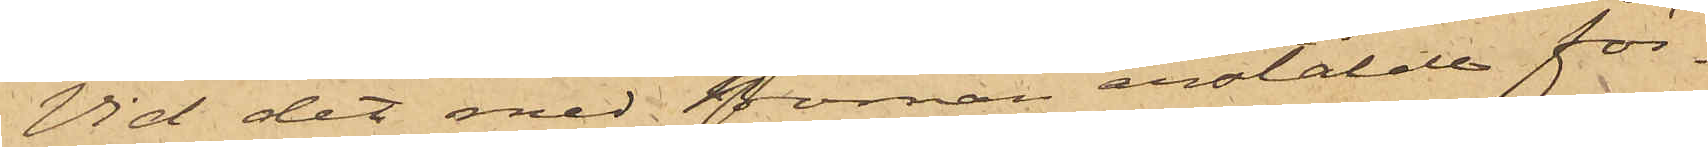Vid det med Boman anstälde för¬
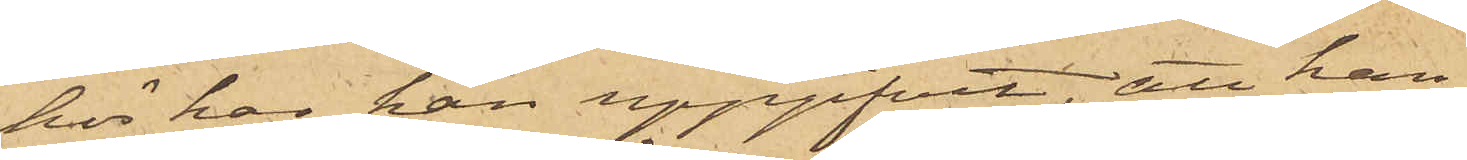hör har han uppgifvit, att han
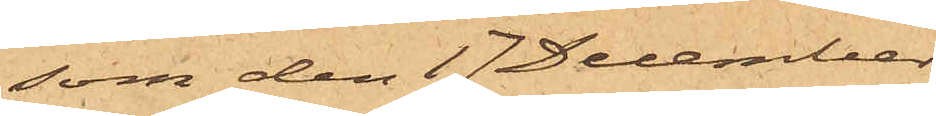som den 17 December
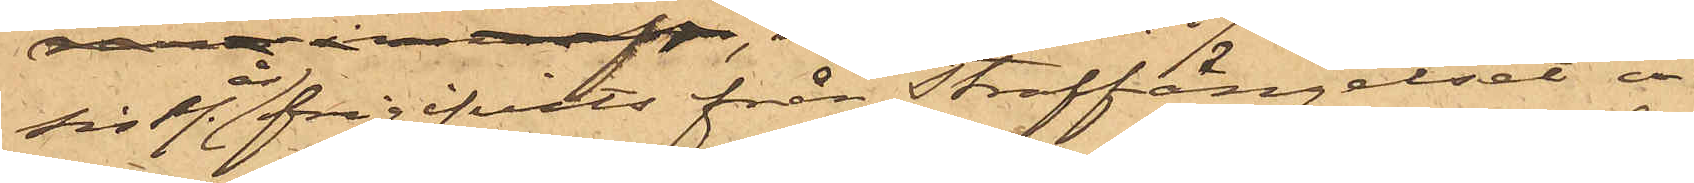sistl. år frigifvits från Straffängelset å 
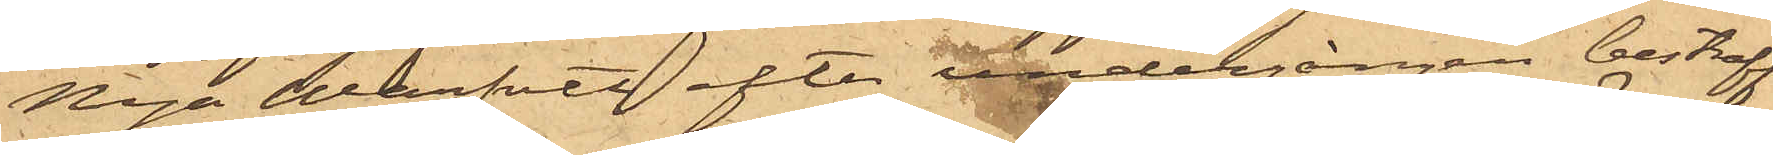Nya Warfvet efter undergången bestraff¬
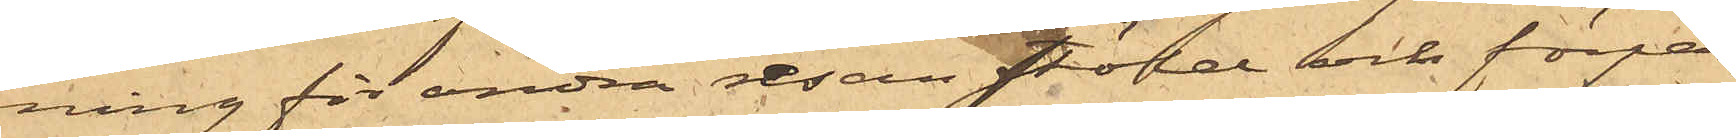ning för andra resan stöld och förpas¬
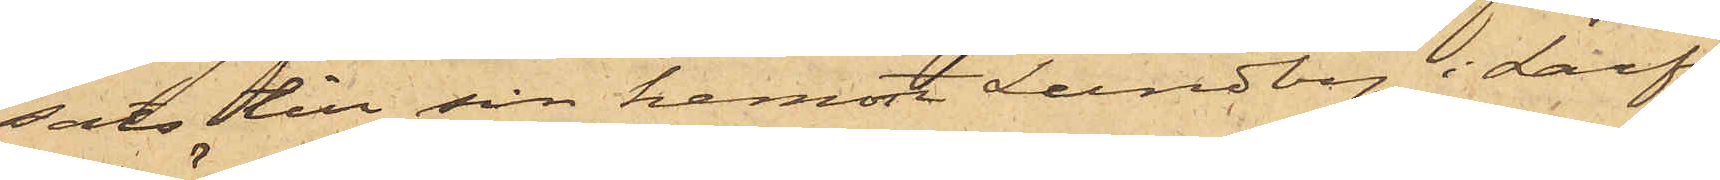sats till sin hemort Lundby i Larfs
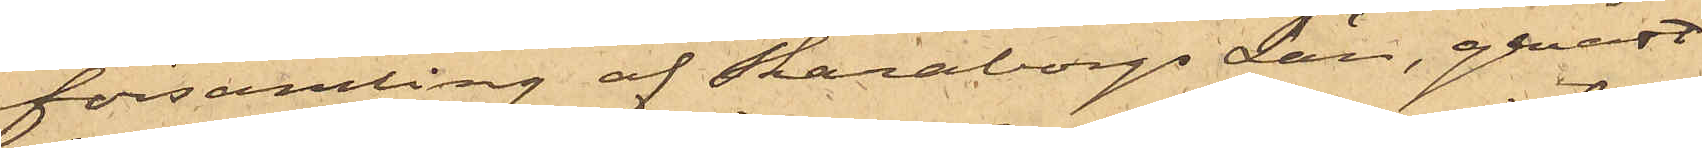församling af Skaraborgs Län, genast
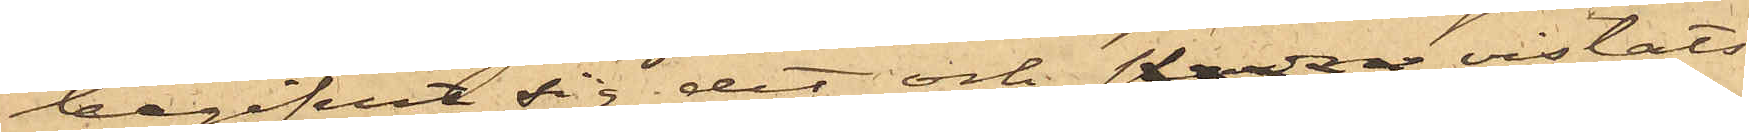begifvit sig dit och stadna vistats
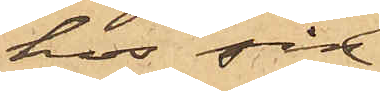hos sin
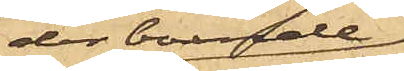der boende
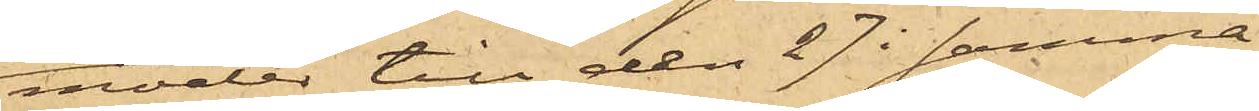moder till den 27 i samma
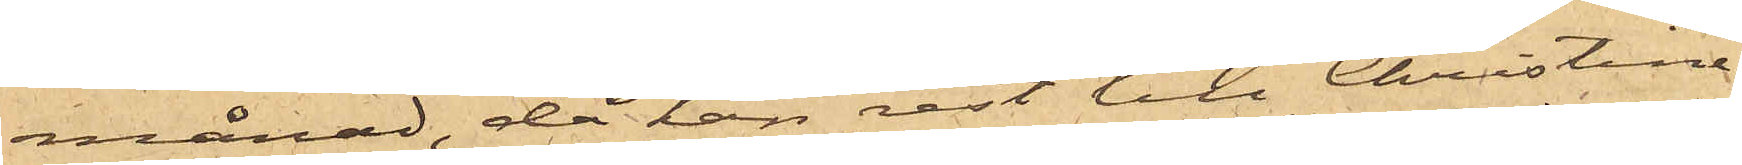månad, då han rest till Christine¬
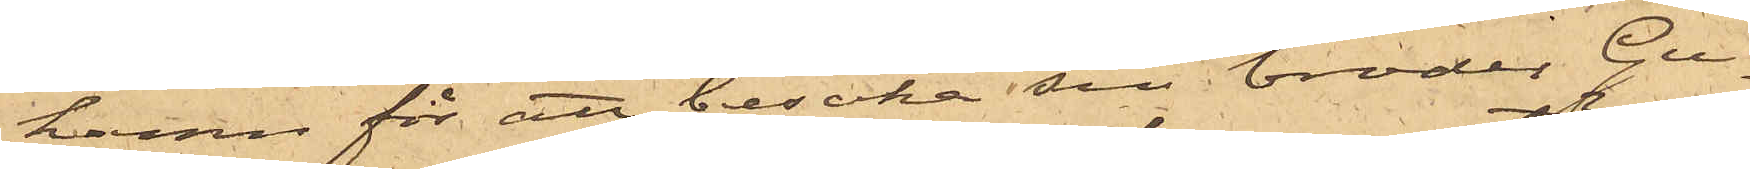hamn för att besöka sin broder Gu¬
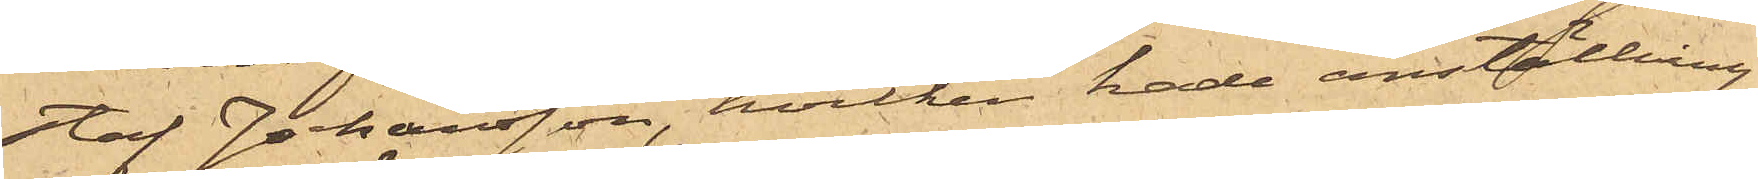staf Johansson, hvilken hade anställning
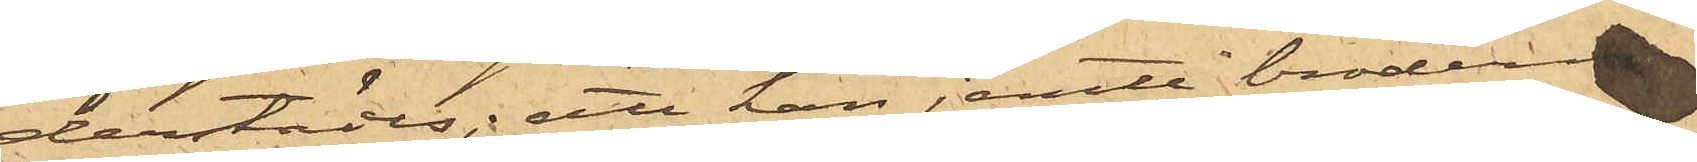derstädes; att han jemte brodern
